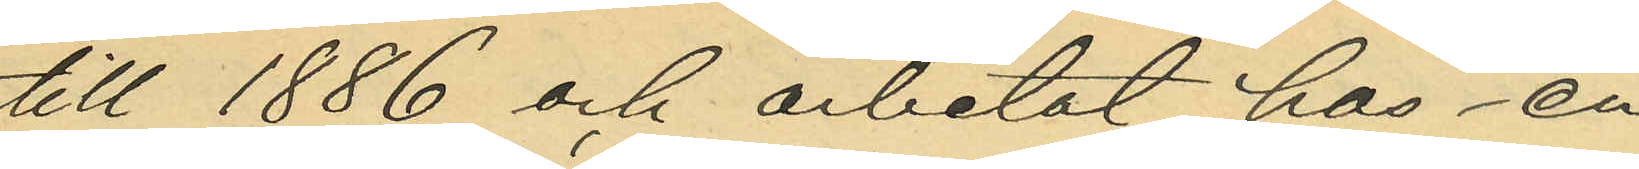till 1886 och arbetat hos en
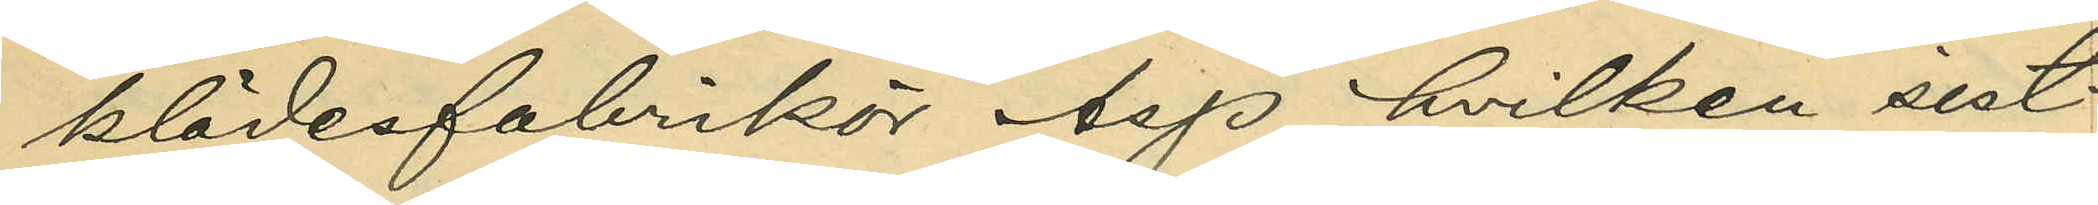klädesfabrikör Asp, hvilken sist¬
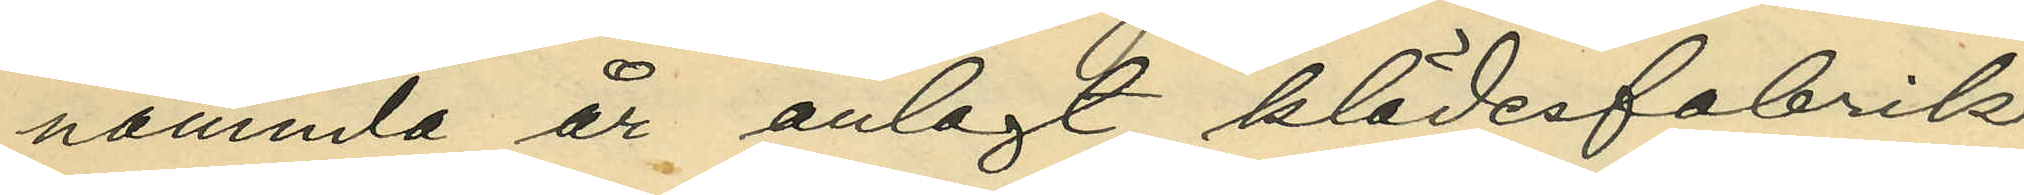nämnda år anlagt klädesfabrik
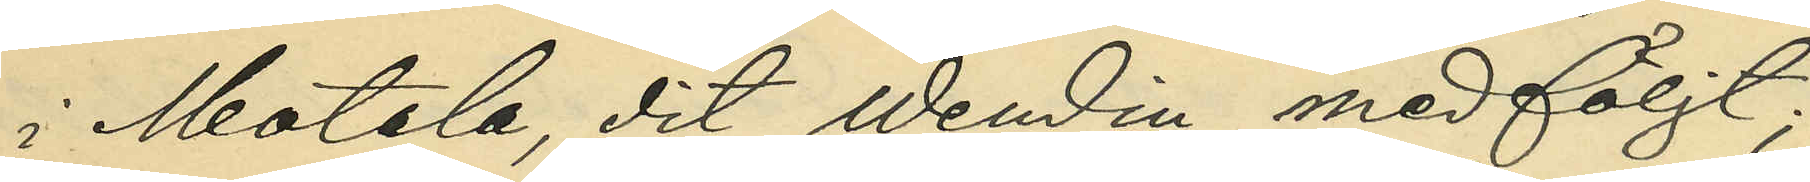i Motala, dit Wendin medföljt;
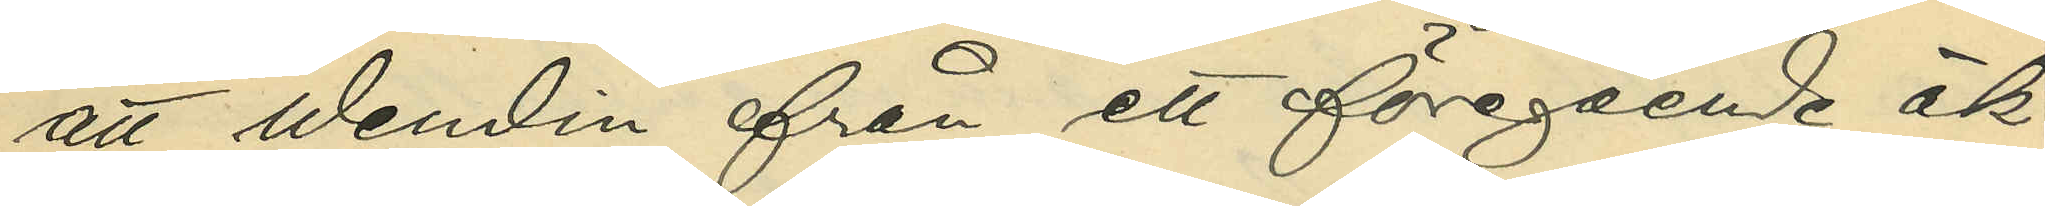att Wendin från ett föregående äk¬
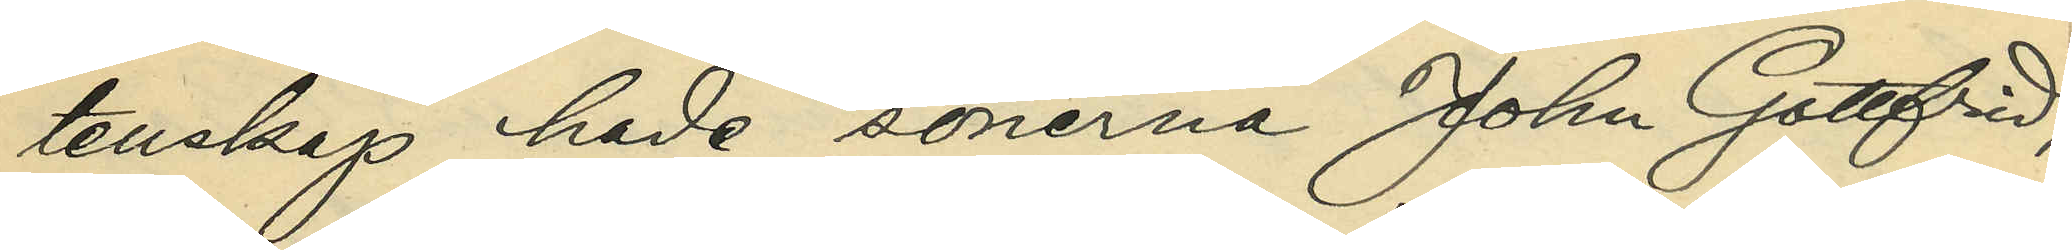tenskap hade sönerna John Gottfrid,
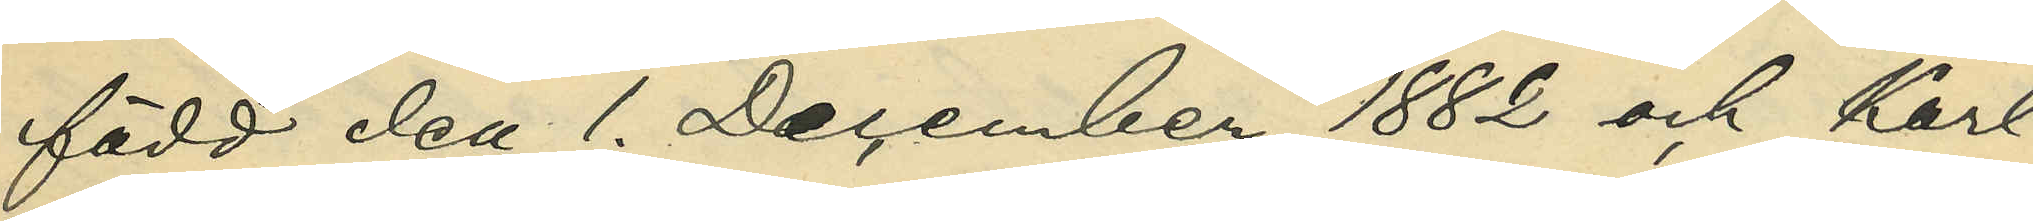född den 1. December 1882 och Karl
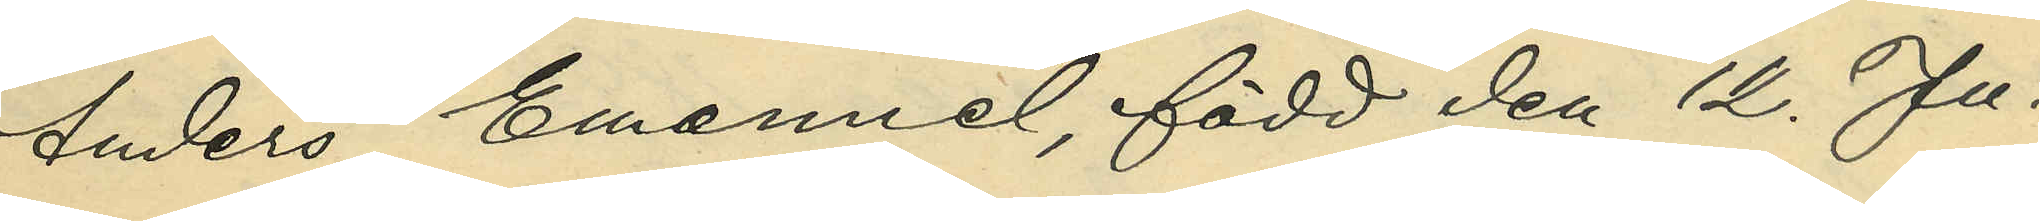Anders Emanuel, född den 12. Ju¬
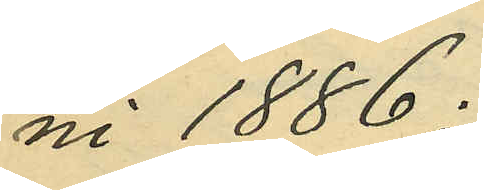ni 1886;
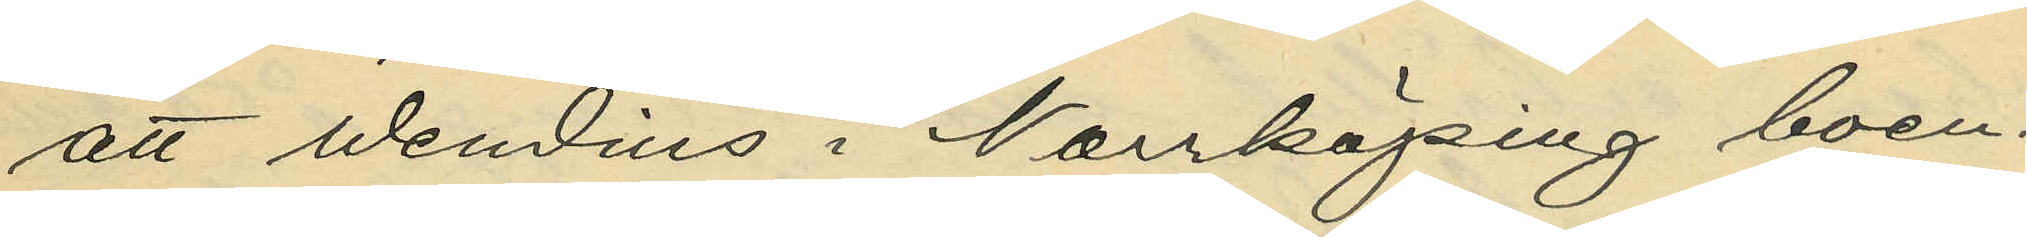att Wendins i Norrköping boen¬
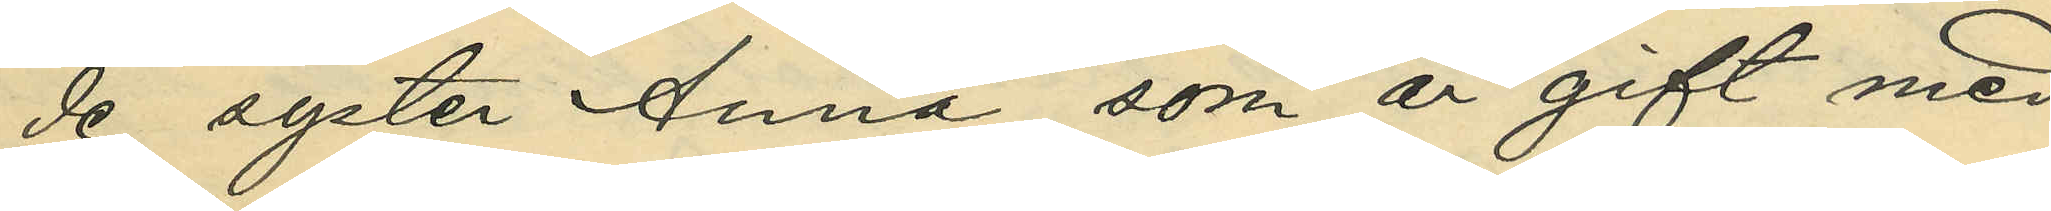de syster Anna, som är gift med
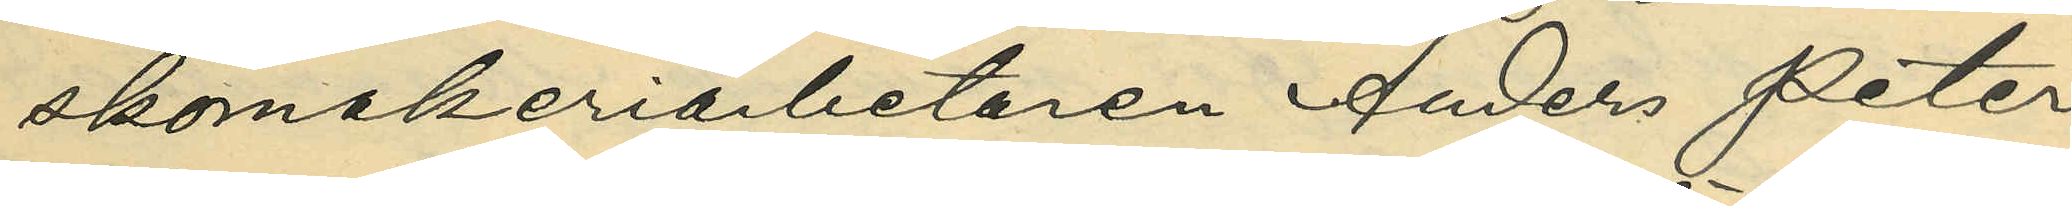skomakeriarbetaren Anders Peter
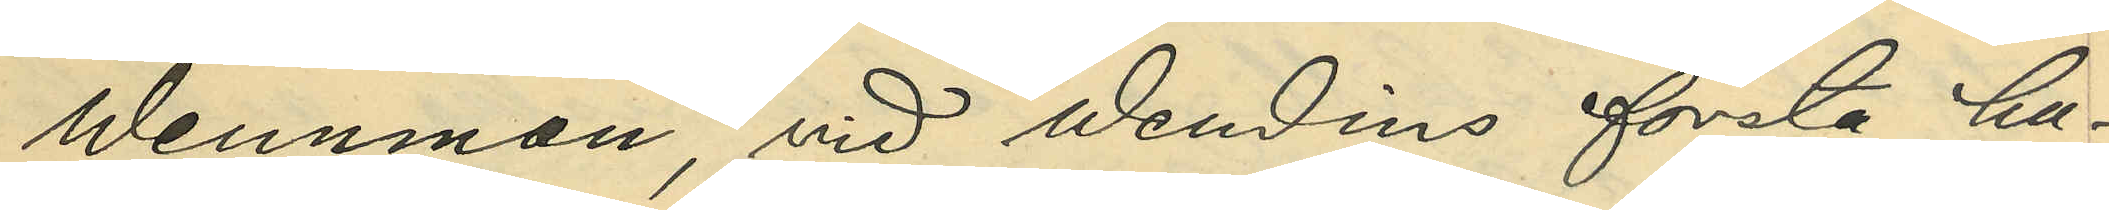Wennman, vid Wendins första hu¬
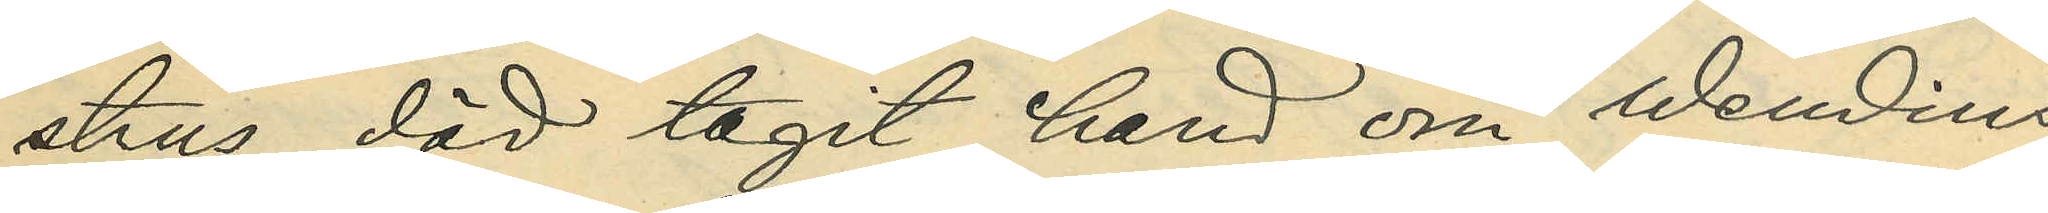strus död tagit hand om Wendins
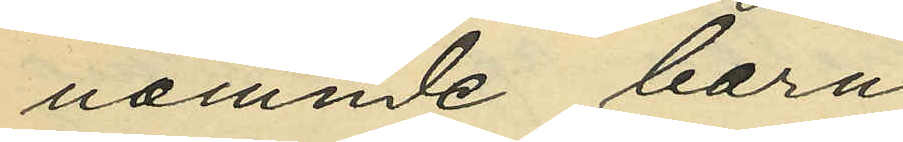nämnde barn;
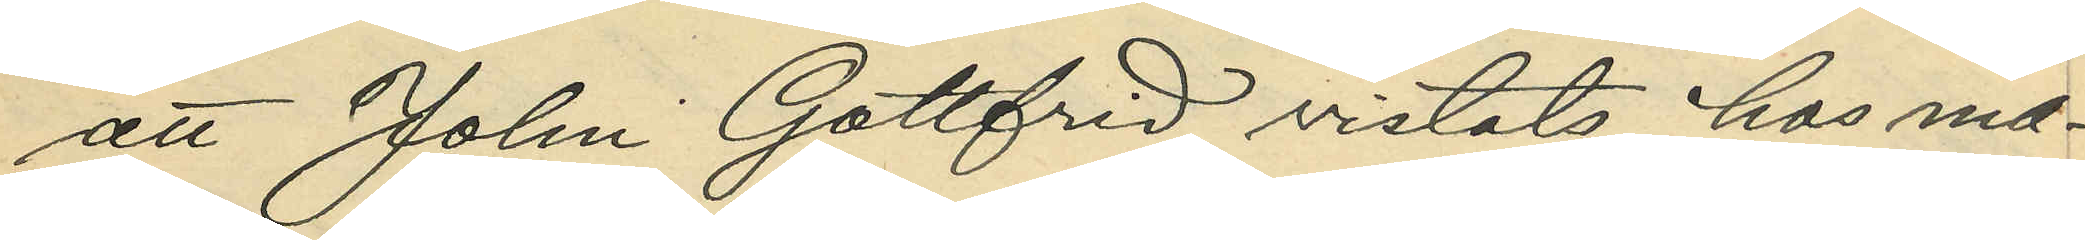att John Gottfrid vistats hos ma¬
